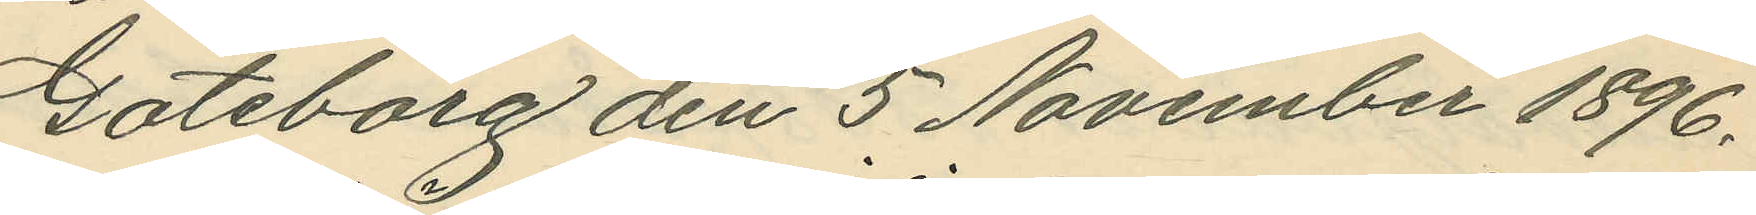Göteborg den 5 November 1896.
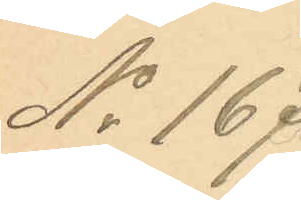No 167.
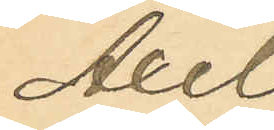Axel
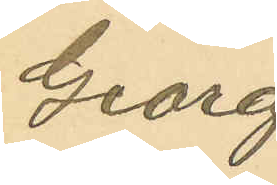Georg
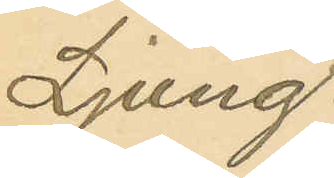Ljung¬
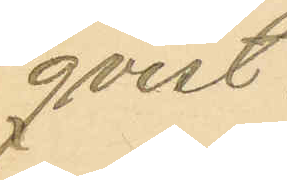qvist.
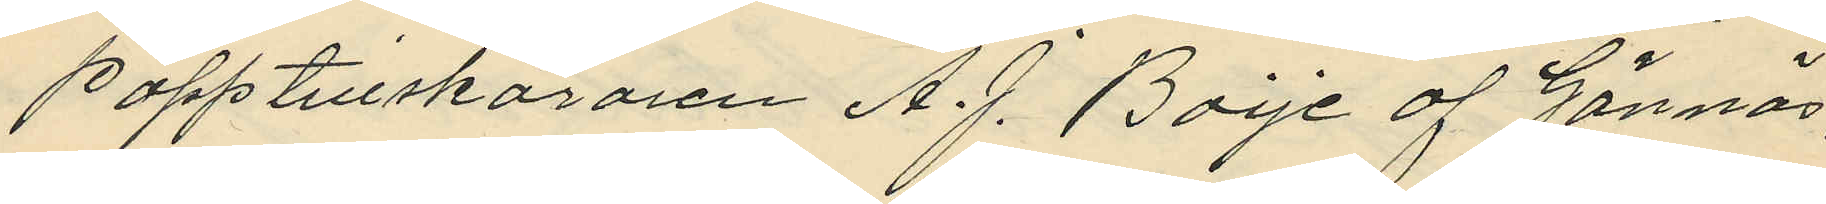Papptillskäraren A.J. Boije af Gännäs;
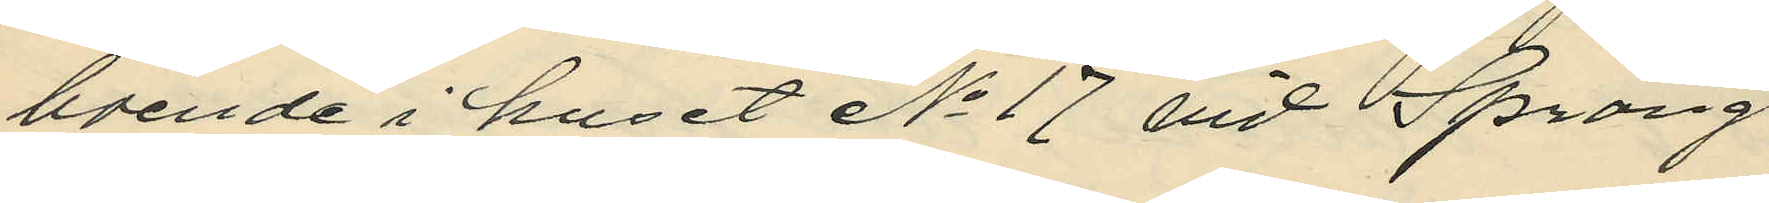boende i huset No 17 vid Spräng
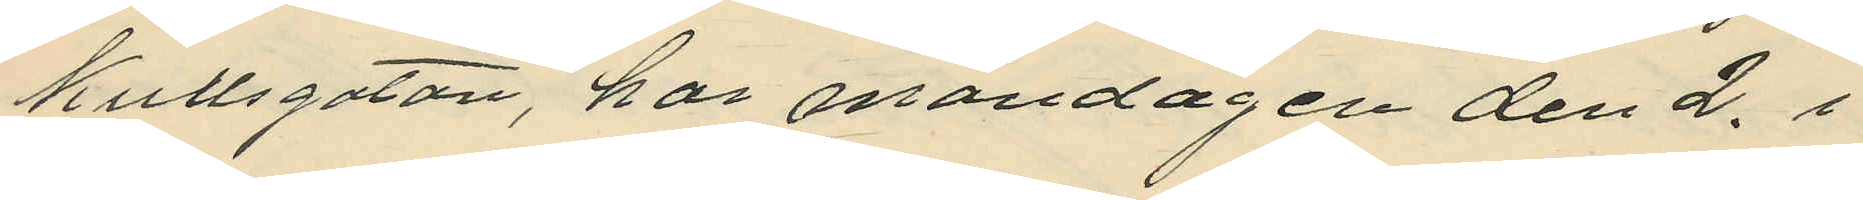kullsgatan, har måndagen den 2. i
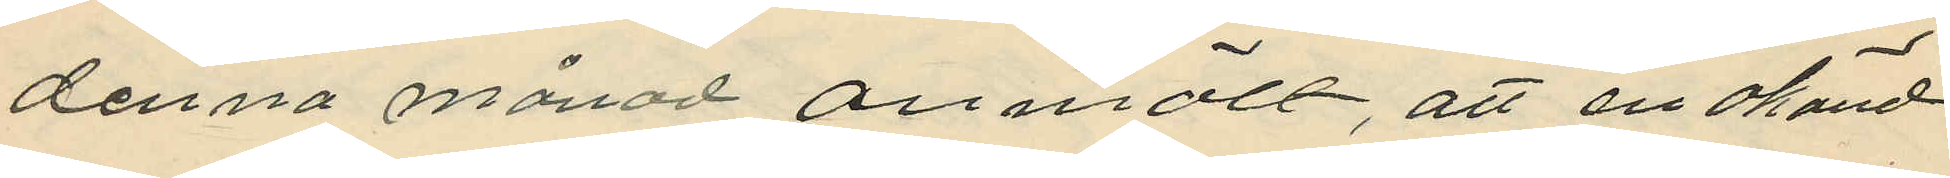denna månad anmält, att en okänd
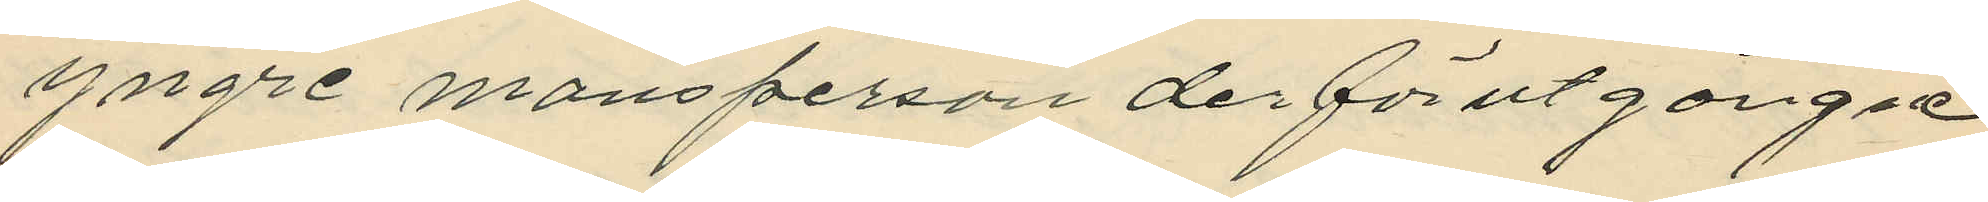yngre mansperson derförutgångne
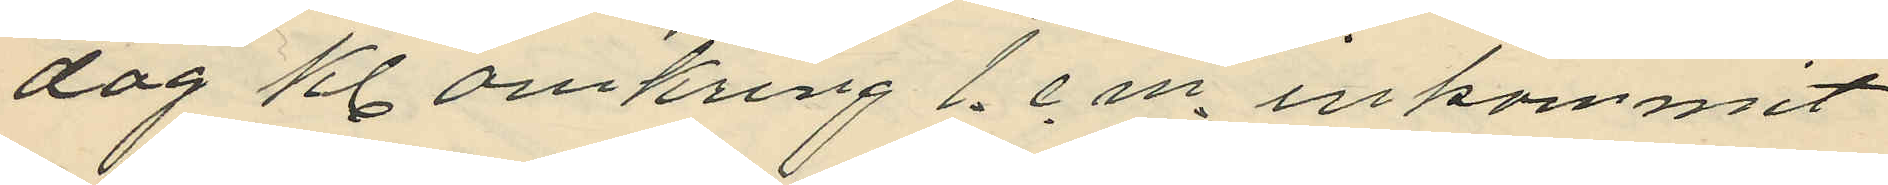dag kl. omkring 1. e. m. inkommit
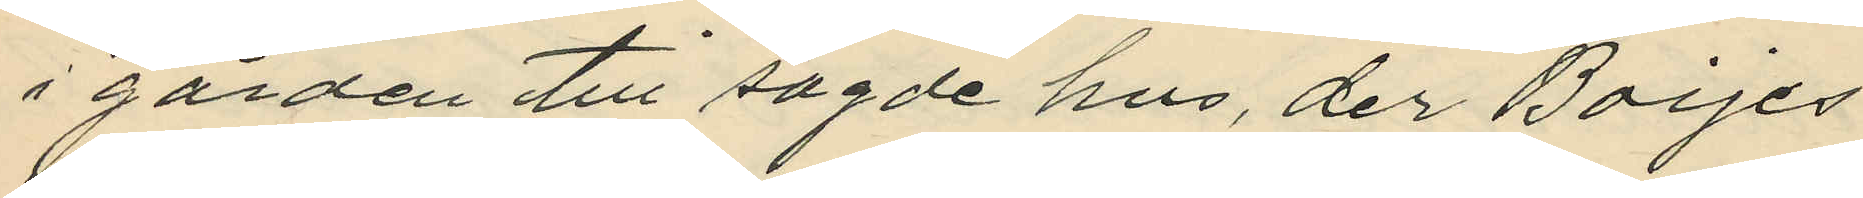i gården till sagde hus, der Boijes
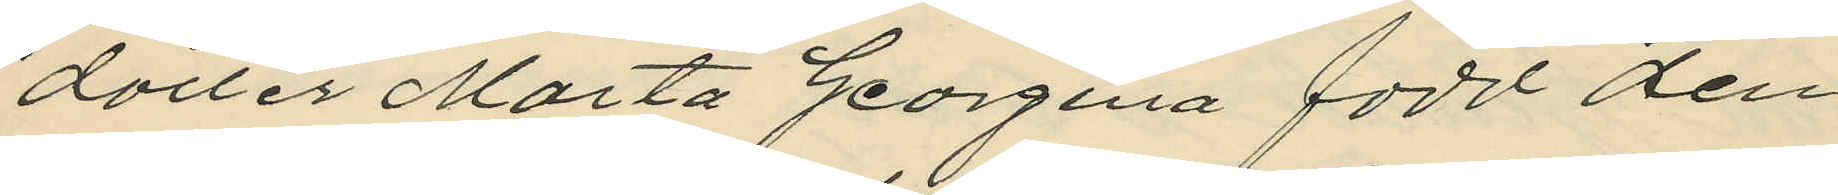dotter Märta Georgina född den
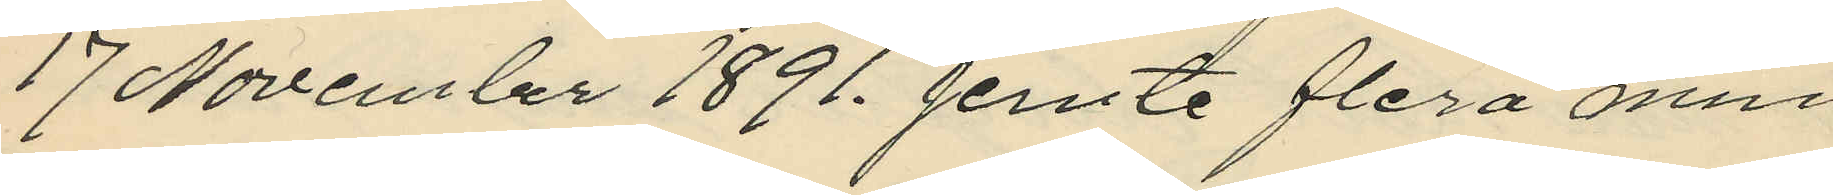17 November 1891. jemte flera min
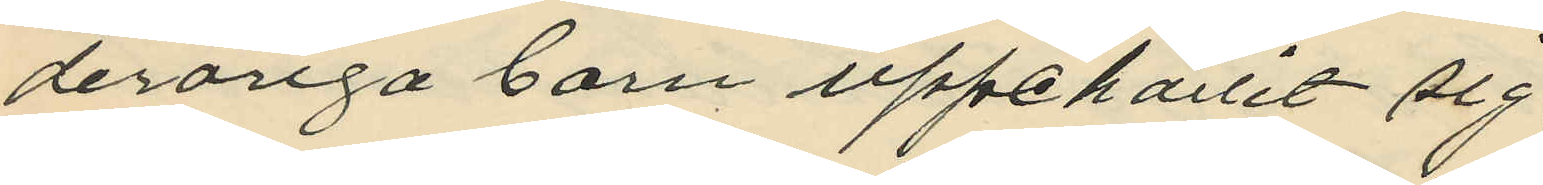deråriga barn uppehållit sig,
